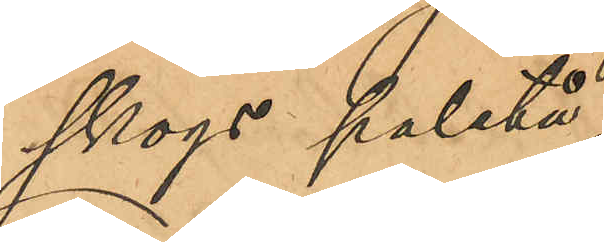skogs paletå;
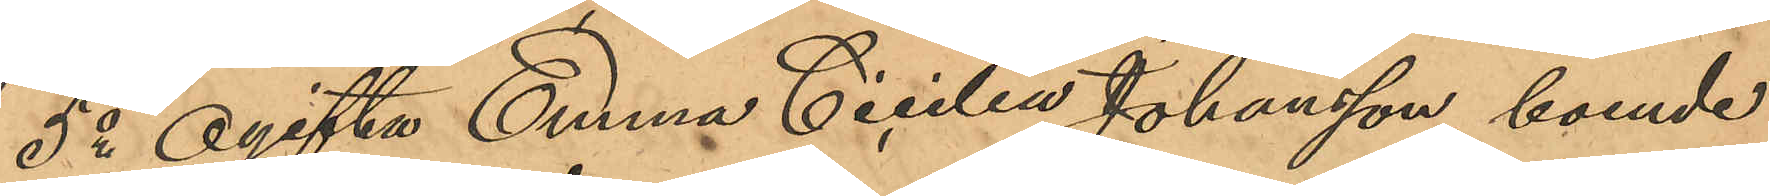5o Ogifta Emma Cecilia Johansson, boende
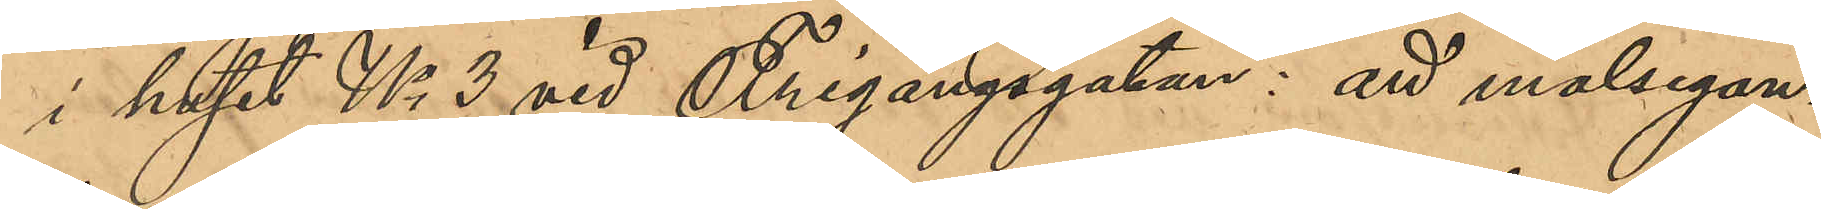i huset No 3 vid Frigångsgatan: att målsegan¬
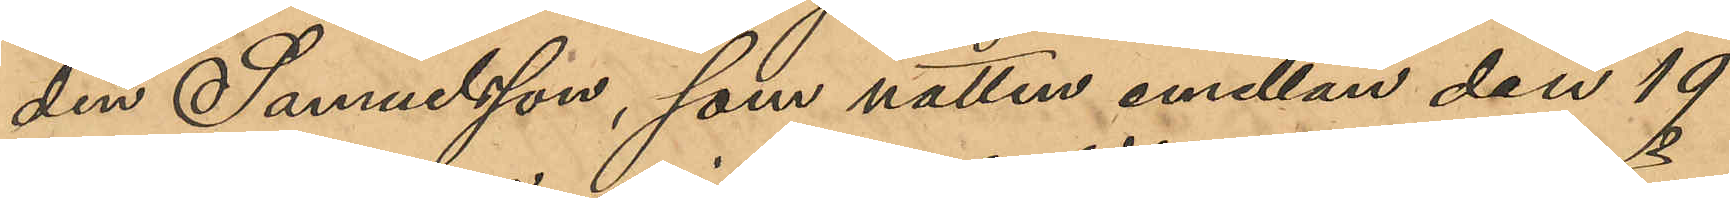den Samuelsson, som natten emellan den 19
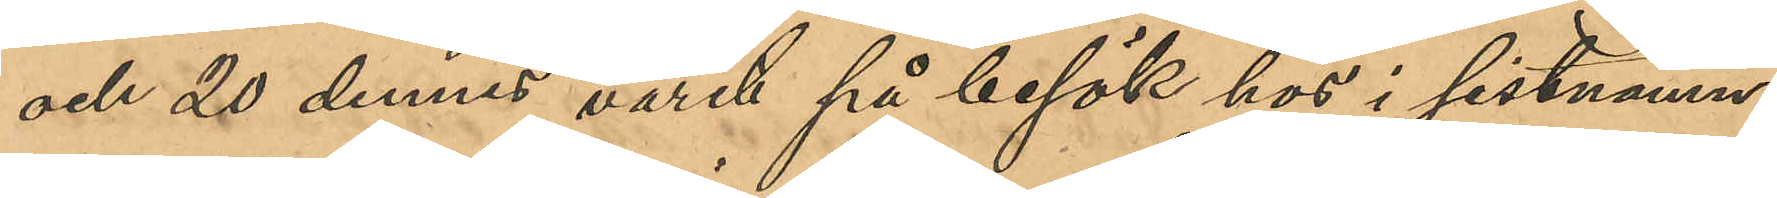och 20 dennes varit på besök hos i sistnämn¬
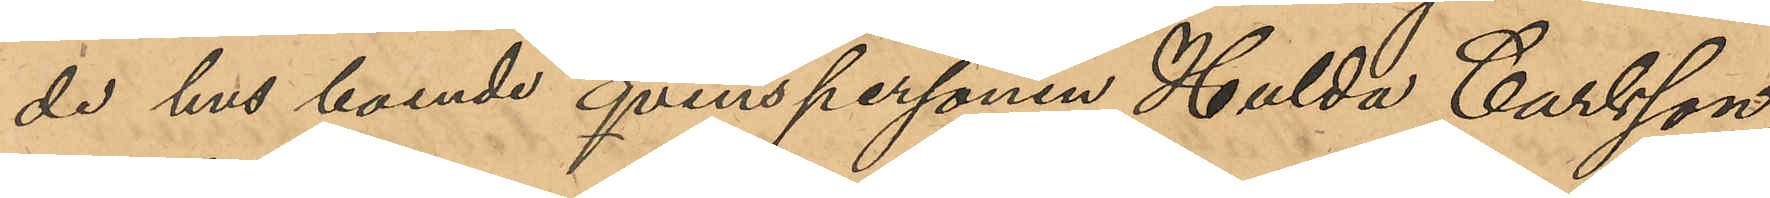de hus boende qvinspersonen Hulda Carlsson,
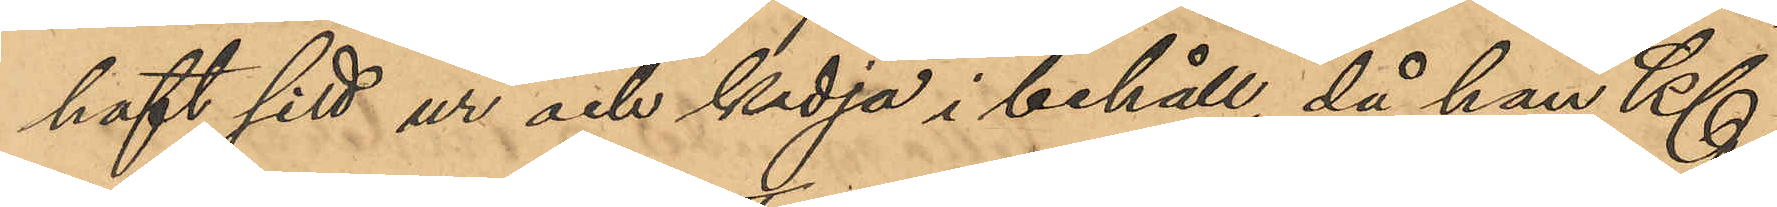haft sitt ur och kedja i behåll, då han Kl
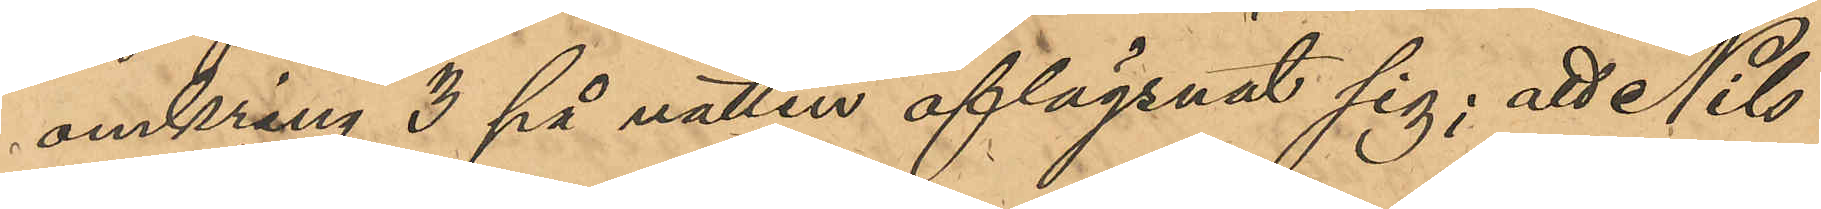omkring 3 på natten aflägsnat sig; att Nils
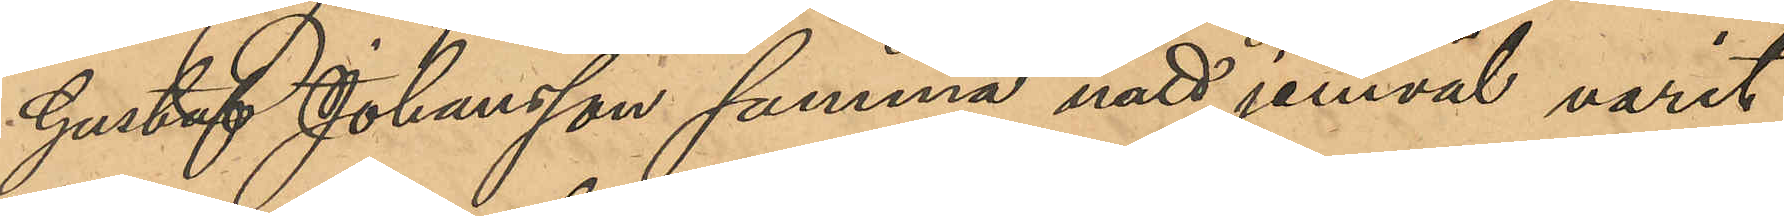Gustaf Johansson samma natt jemväl varit
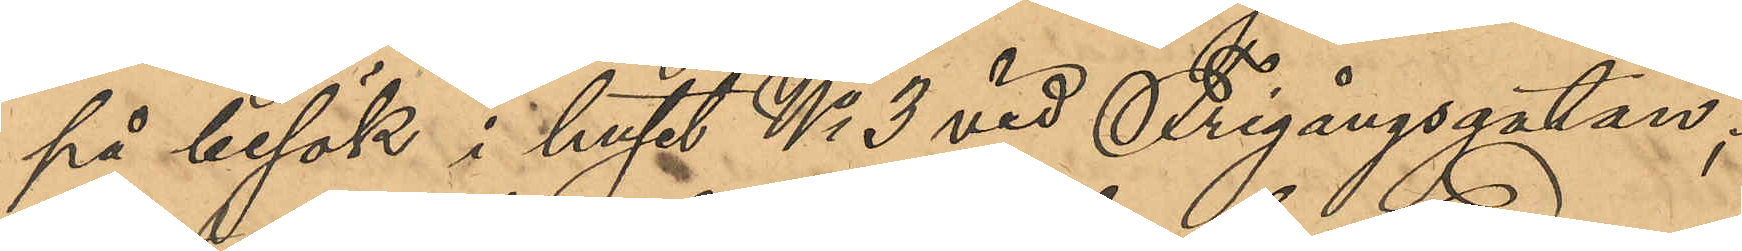på besök i huset No 3 vid Frigångsgatan;
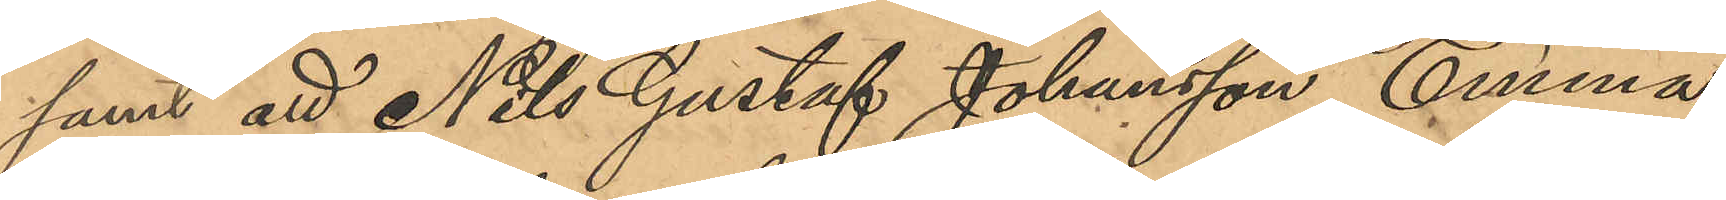samt att Nils Gustaf Johansson, Emma
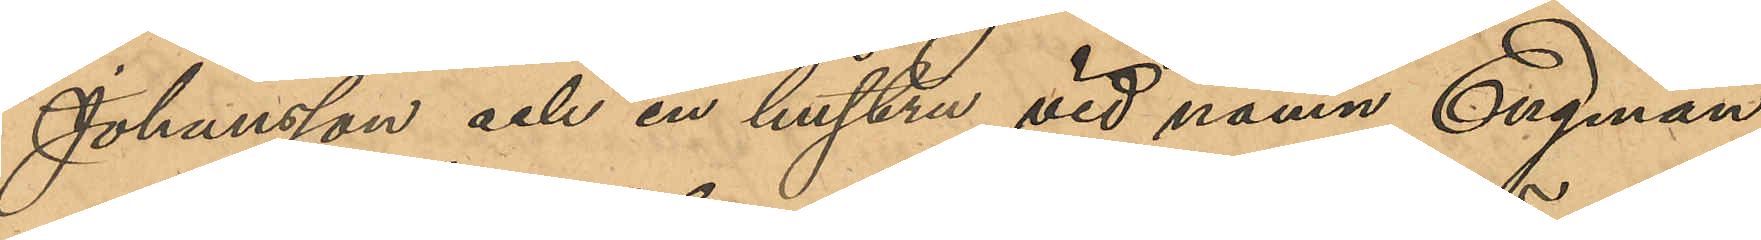Johansson och en hustru vid namn Engman
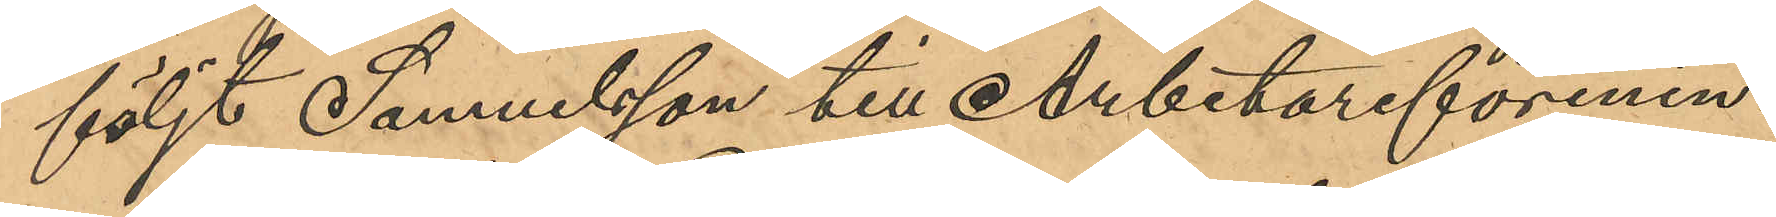följt Samuelsson till Arbetareförenin¬
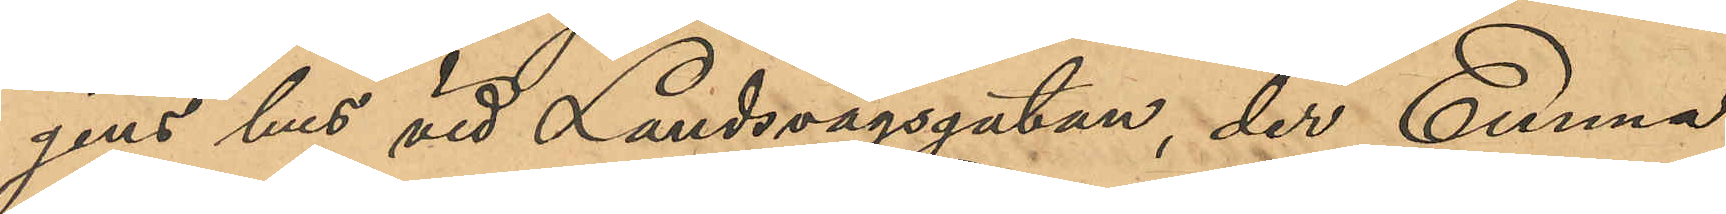gens hus vid Landsvägsgatan, der Emma
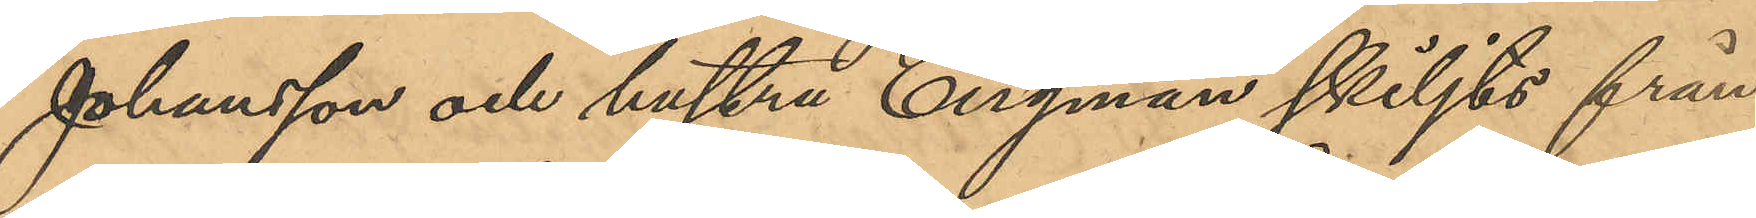Johansson och hustru Engman skiljts från
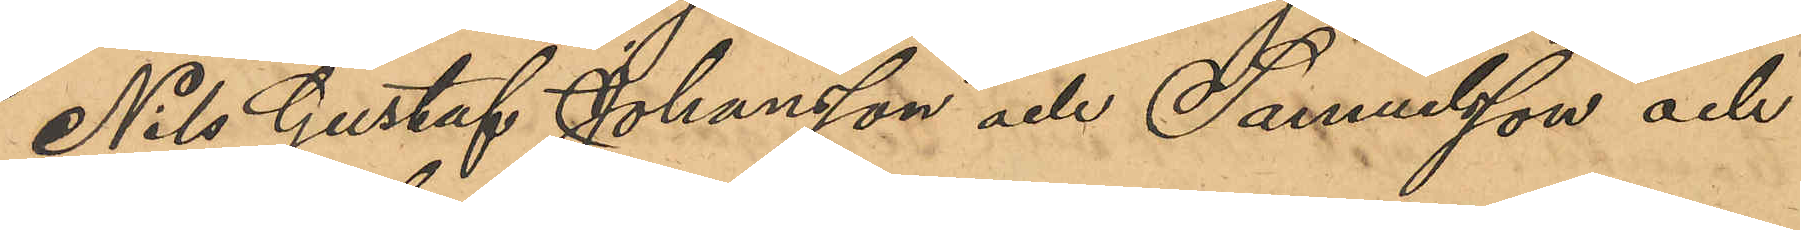Nils Gustaf Johansson och Samuelsson och
